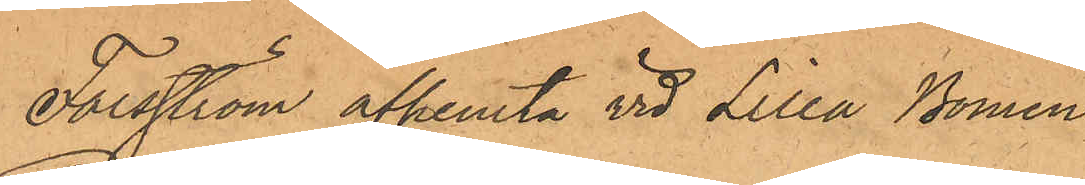Forsström afhemta vid Lilla Bomen;
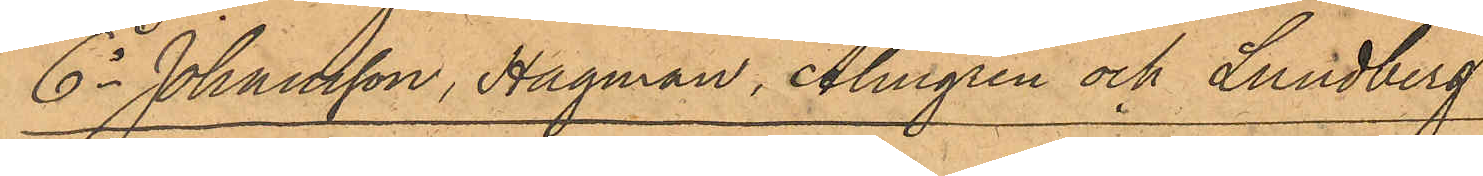6o Johansson, Hagman, Almgren och Lundberg:
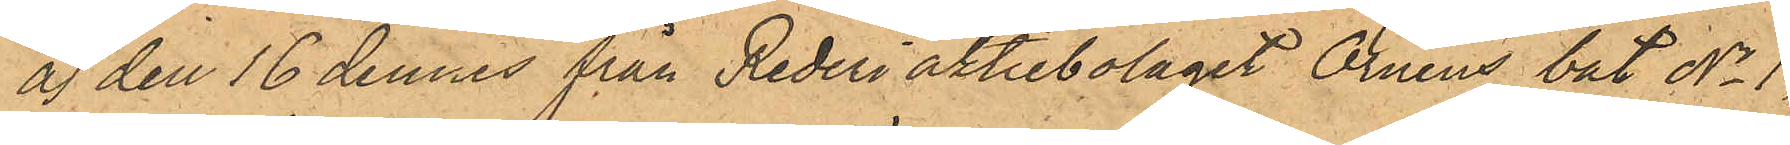a) den 16 dennes från Rederiaktiebolaget Örnens båt No 1,
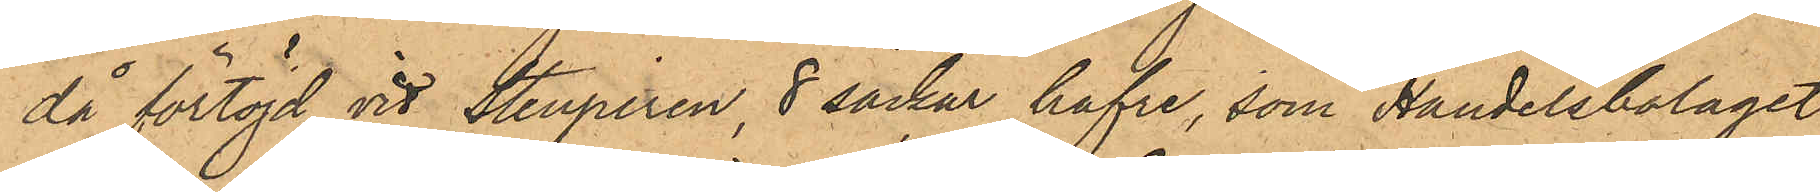då förtöjd vid Stenpiren, 8 säckar hafre, som Handelsbolaget
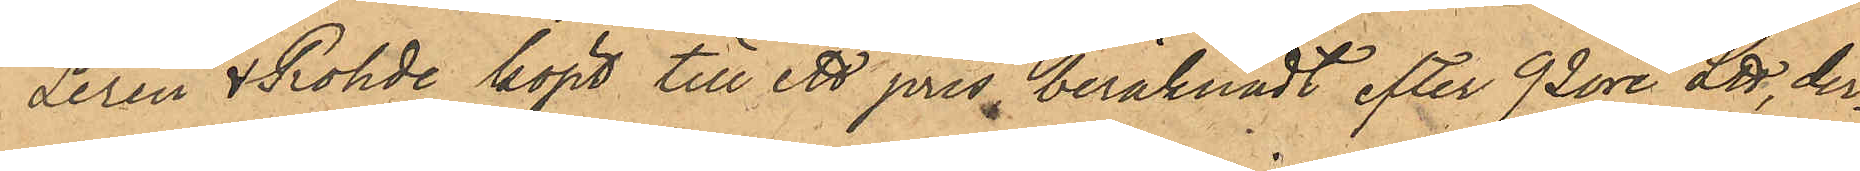Lerén & Rohde köpt till ett pris beräknadt efter 92 öre L℔, der¬
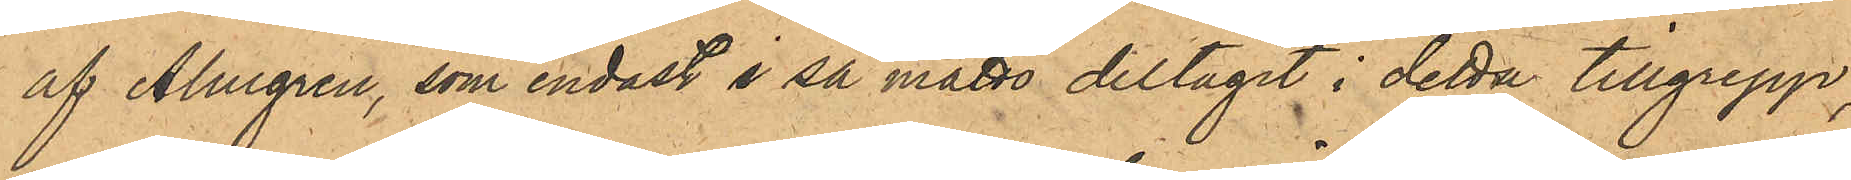af Almgren, som endast i så måtto deltagit i detta tillgrepp;
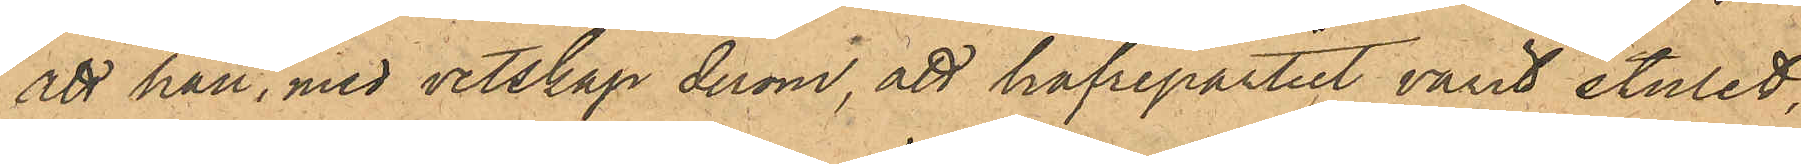att han, med vetskap derom, att hafrepartiet varit stulet;
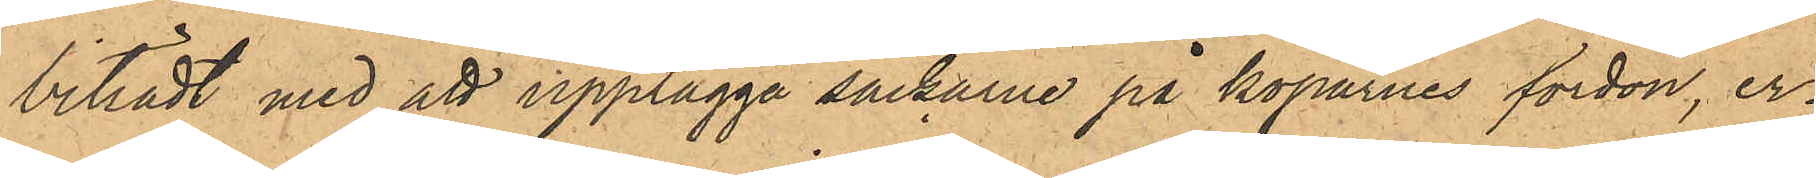biträdt med att upplägga säckarne på köparnes fordon, er¬
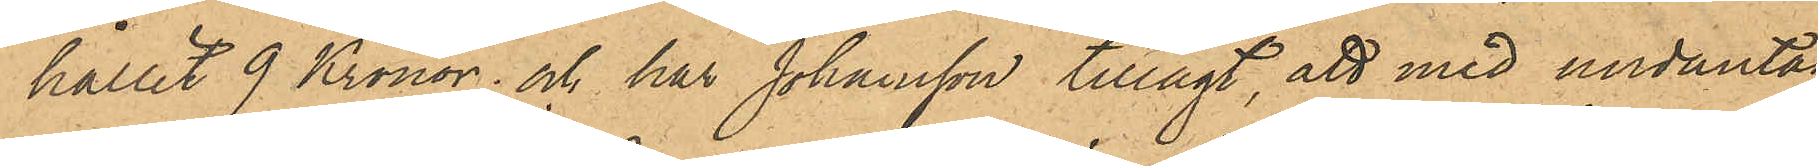hållit 9 Kronor; och har Johansson tillagt, att med undantag
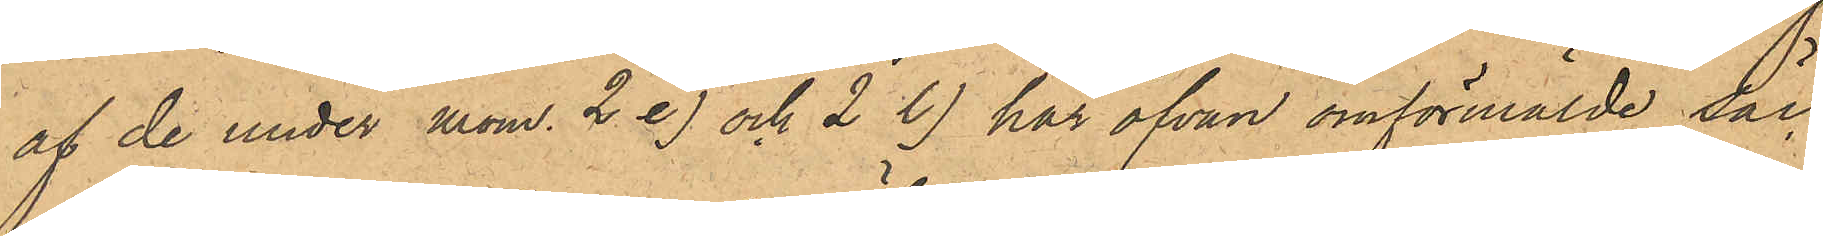af de under mom. 2 e) och 2 l) här ofvan omförmälde säc¬
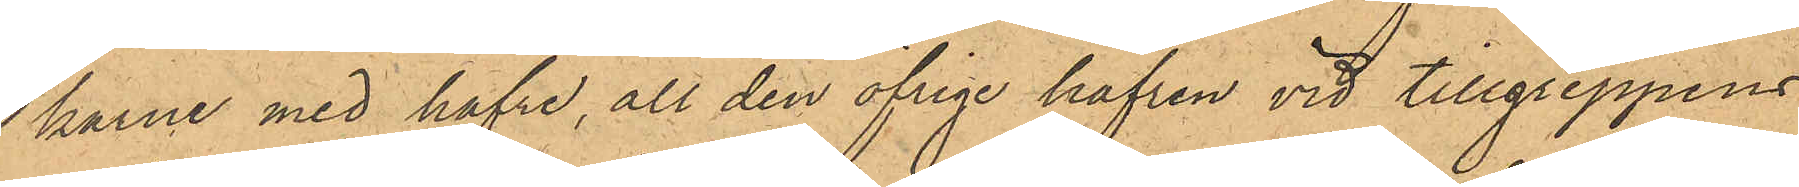karne med hafre, all den öfrige hafren vid tillgreppens
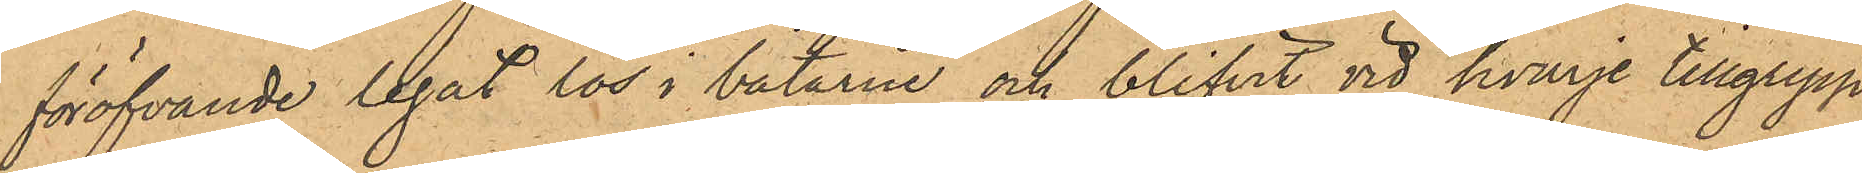föröfvande legat lös i båtarne och blifvit vid hvarje tillgrepp
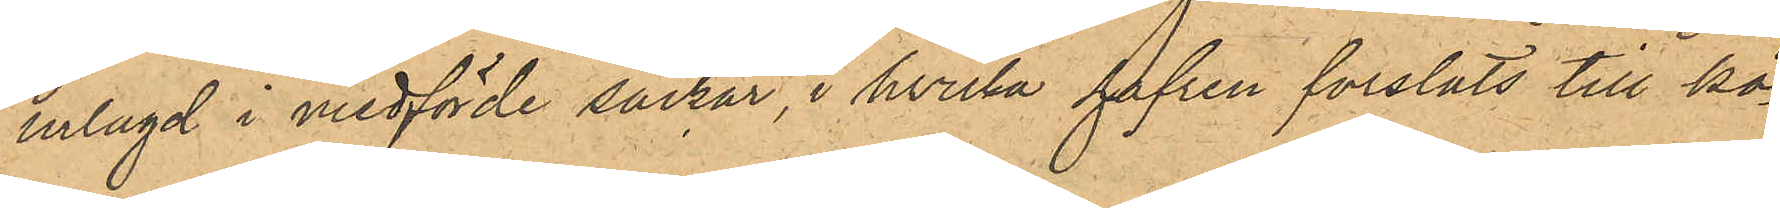ilagd i medförde säckar, i hvilka hafren forslats till kö¬
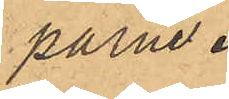parne.
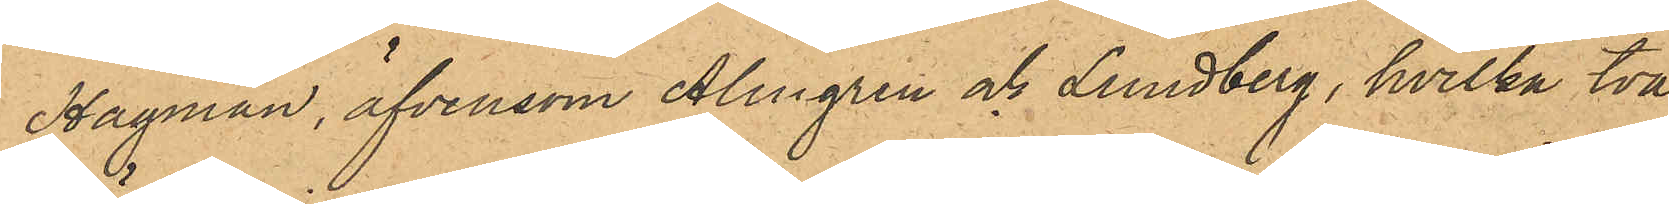Hagman, äfvensom Almgren och Lundberg, hvilka två
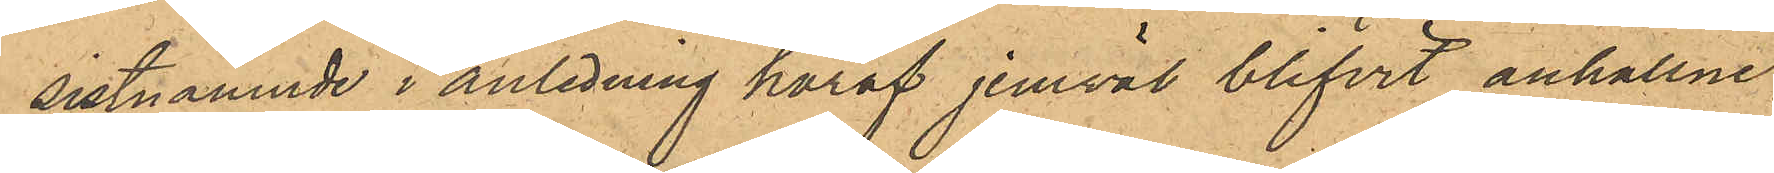sistnämnde i anledning häraf jemväl blifvit anhållne,
